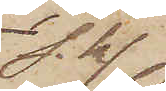s.k.
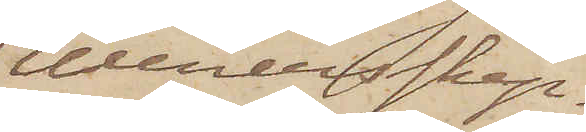Wenerskep¬
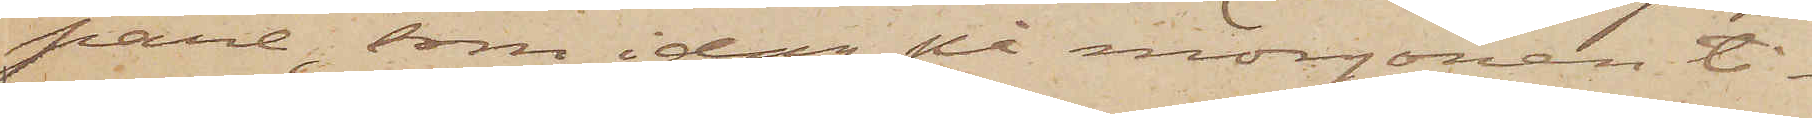pare, som i dag på morgonen ti¬
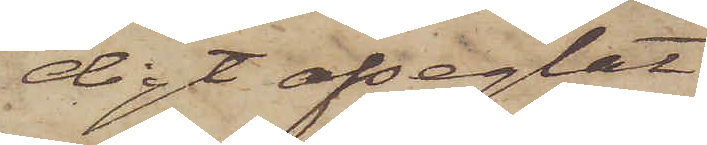digt afseglat
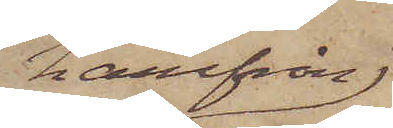härifrån
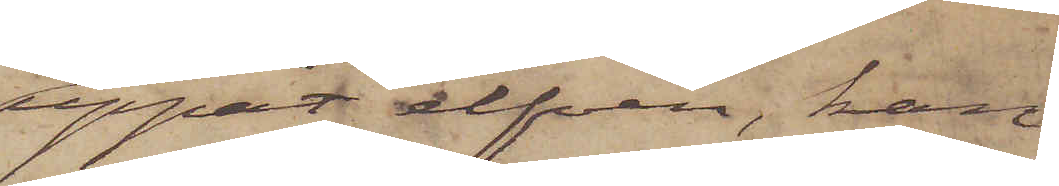uppåt elfven, kan
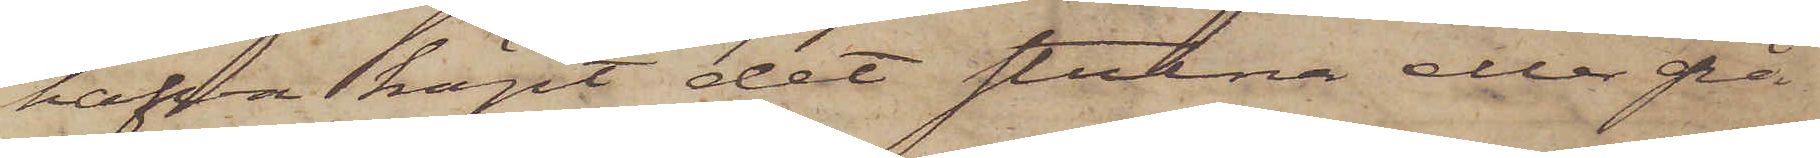hafva köpt det stulna eller på
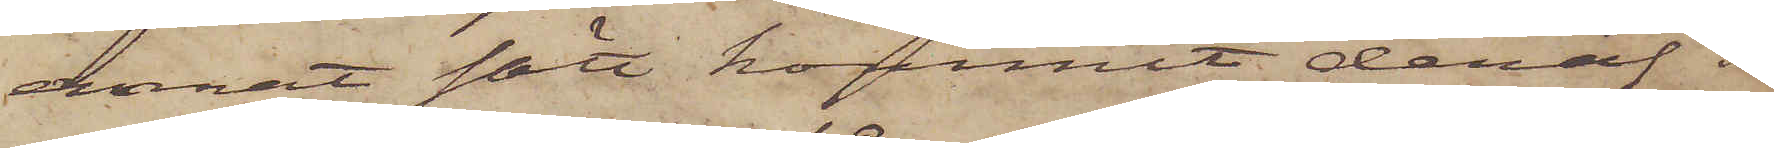annat sätt kommit deraf i
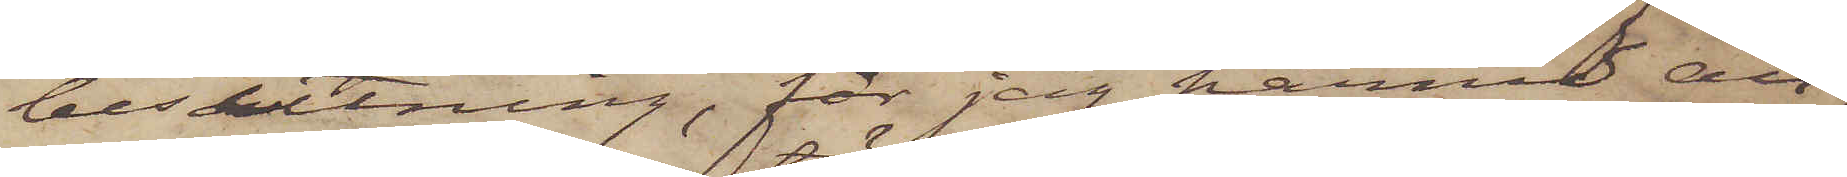besittning, får jag härmed an¬
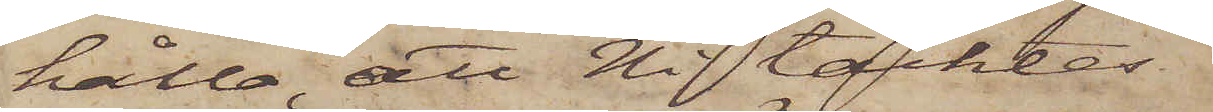hålla, att Ni täcktes
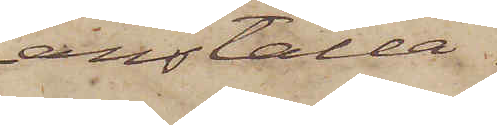anställa
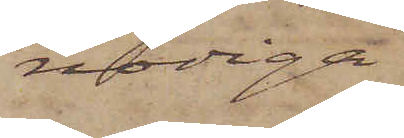nödiga
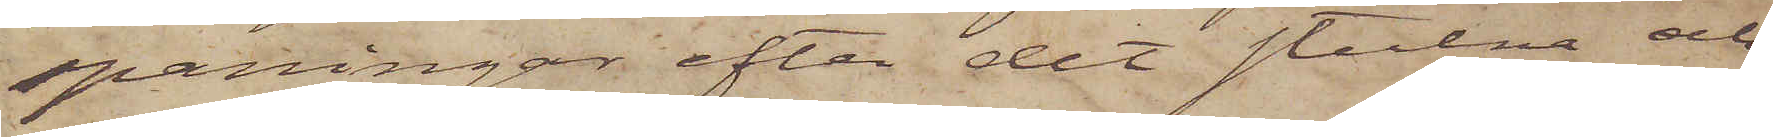spaningar efter det stulna och
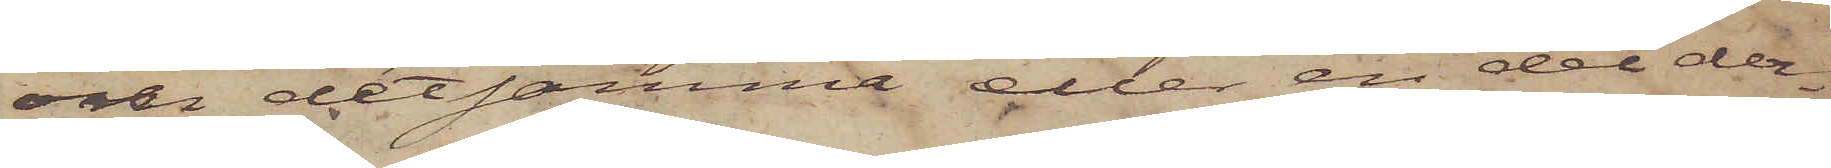om detsamma eller en del der¬
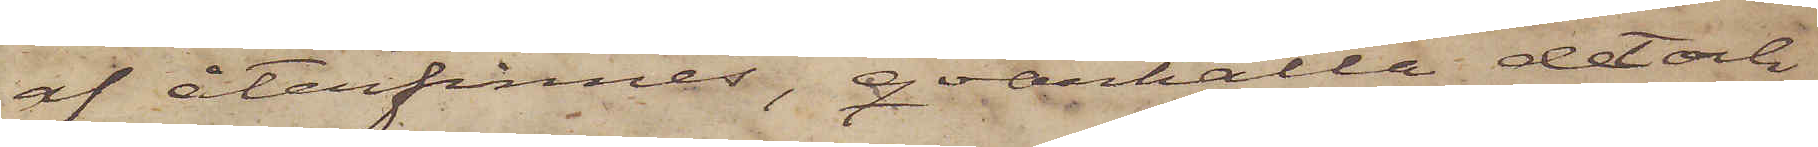af återfinnes, qvarhålla det och
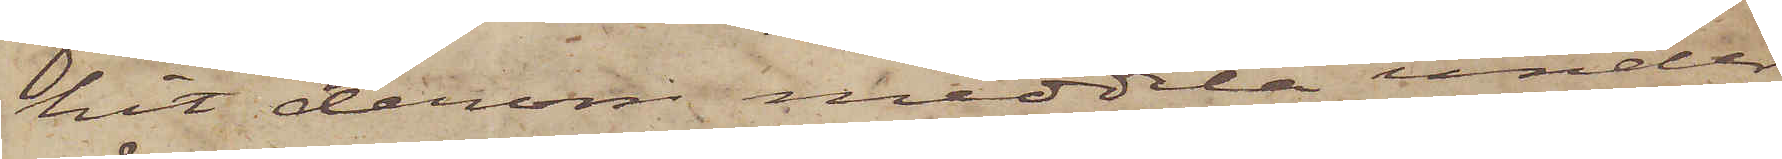hit derom meddela under
